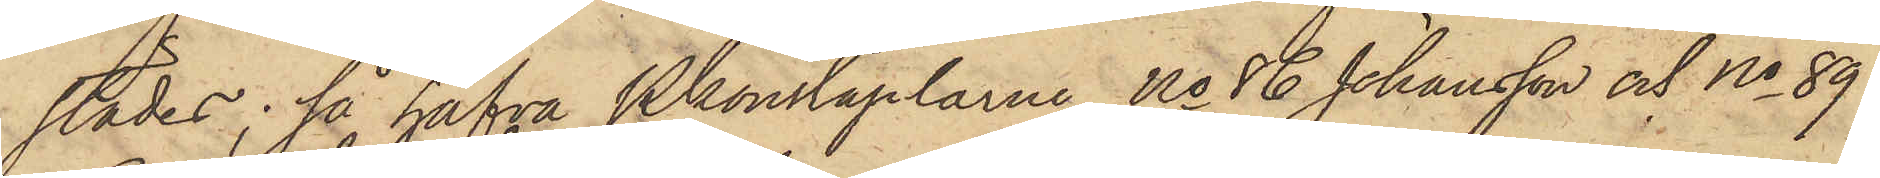städes; så hafva Pkonstaplarne No 86 Johansson och No 89
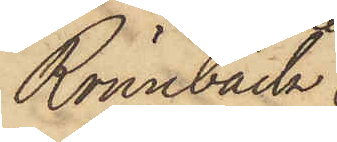Rönnbäck
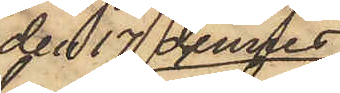den 17 dennes
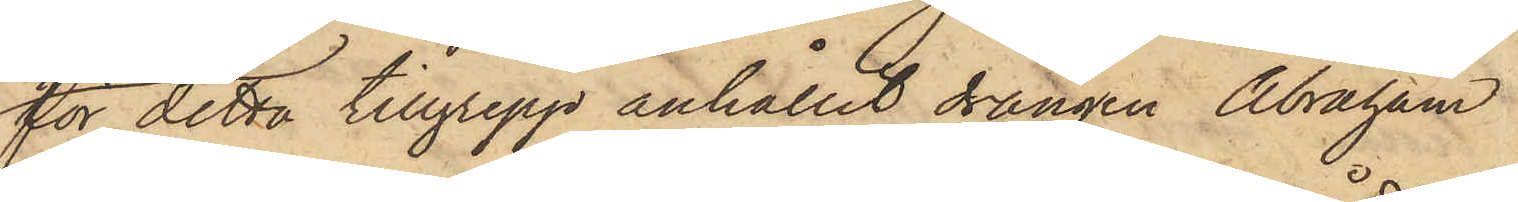för detta tillgrepp anhållit drängen Abraham
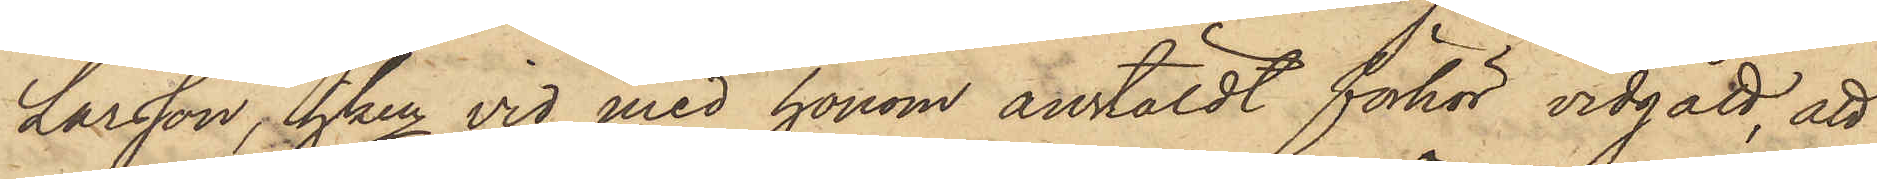Larsson, hken vid med honom anstäldt förhör vidgått, att
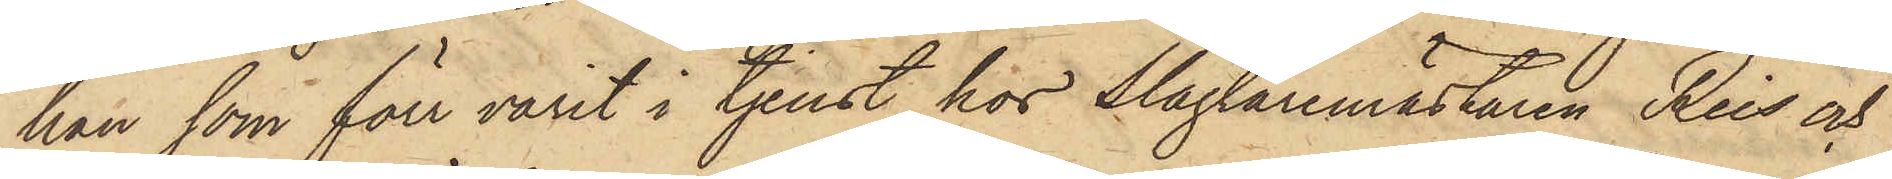han som förr varit i tjenst hos Slagaremästaren Reis och
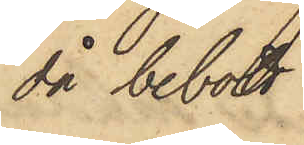då bebott
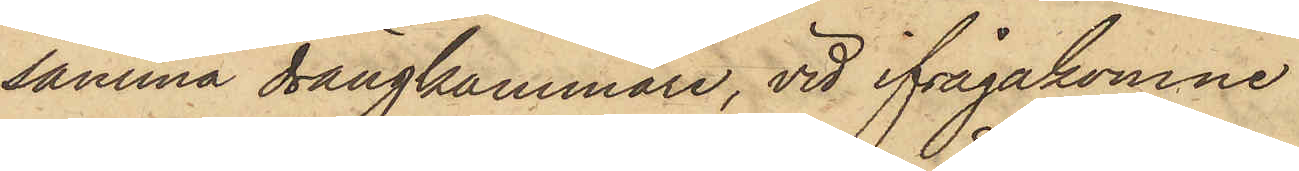samma drängkammare, vid ifrågakomne
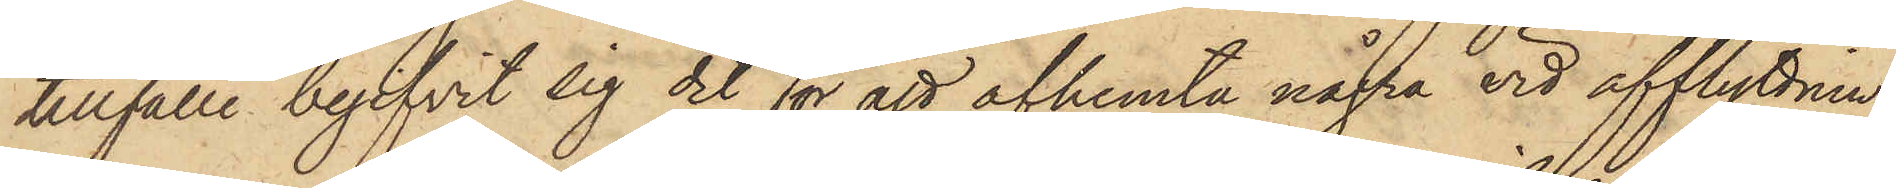tillfälle begifvit sig dit för att afhemta några vid afflyttnin¬
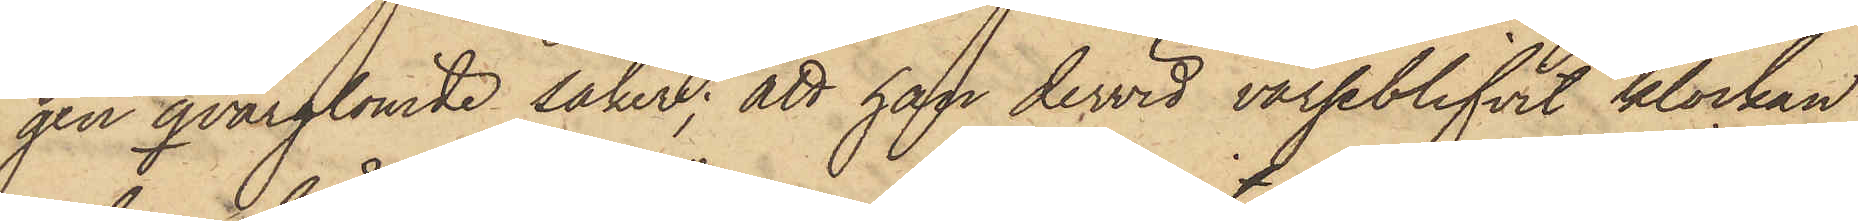gen qvarglömde saker; att han dervid varseblifvit klockan
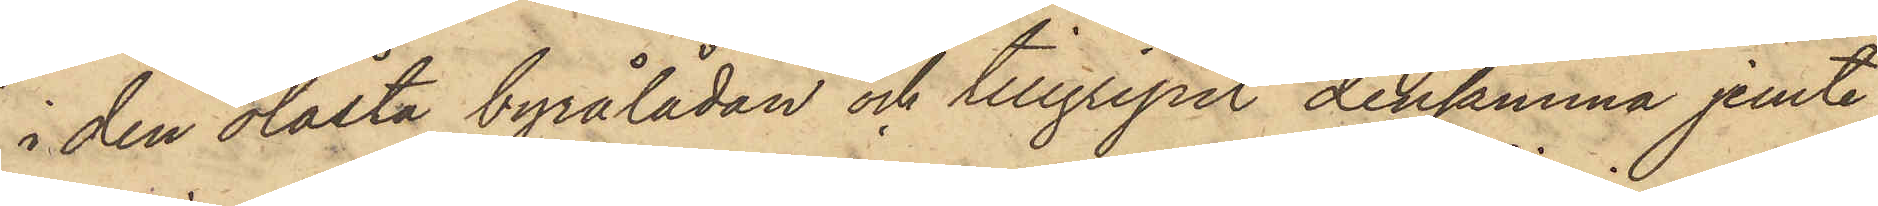i den olåsta byrålådan och tillgripit densamma jemte
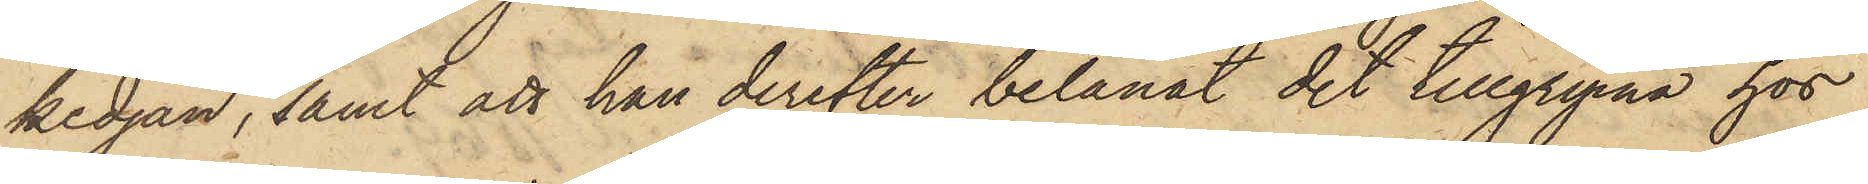kedjan, samt att han derefter belånat det tillgripna hos
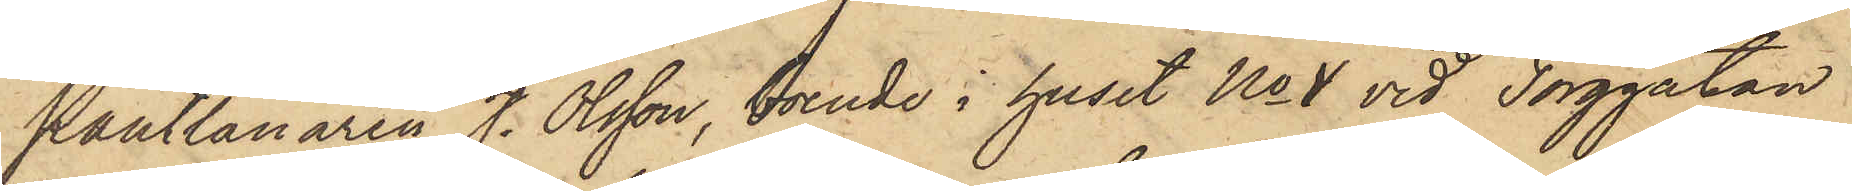Pantlånaren J. Olsson, boende i huset No 1 vid Torggatan
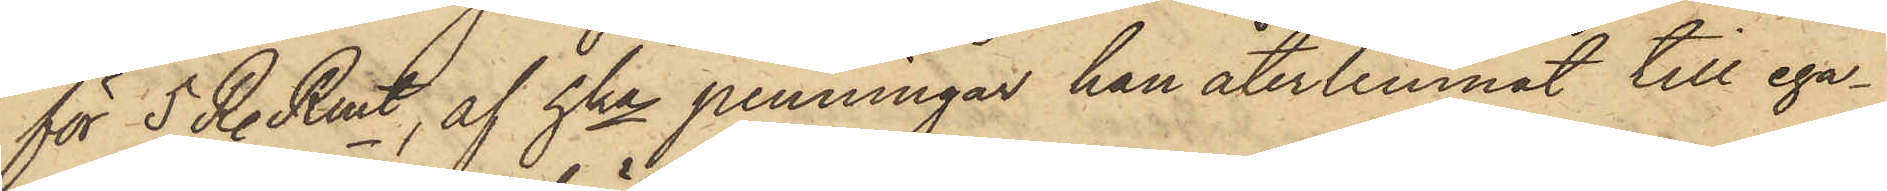för 5 R. Rmt, af hka penningar han återlemnat till ega¬
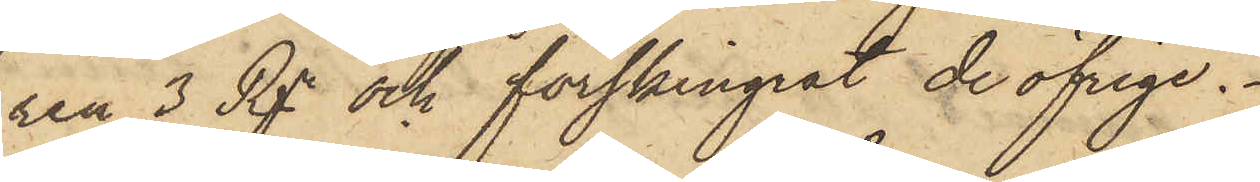ren 3 Rgr och förskingrat de öfrige.
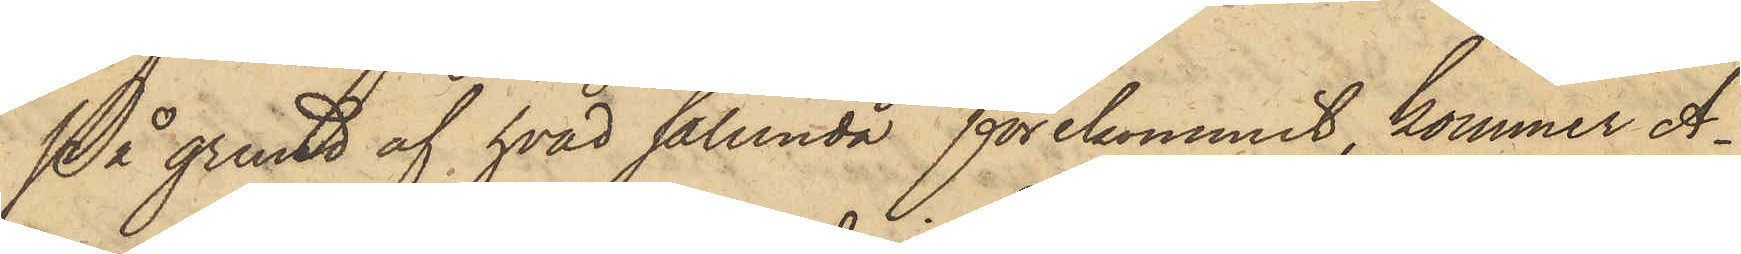På grund af hvad sålunda förekommit, kommer A¬
